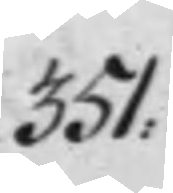351:
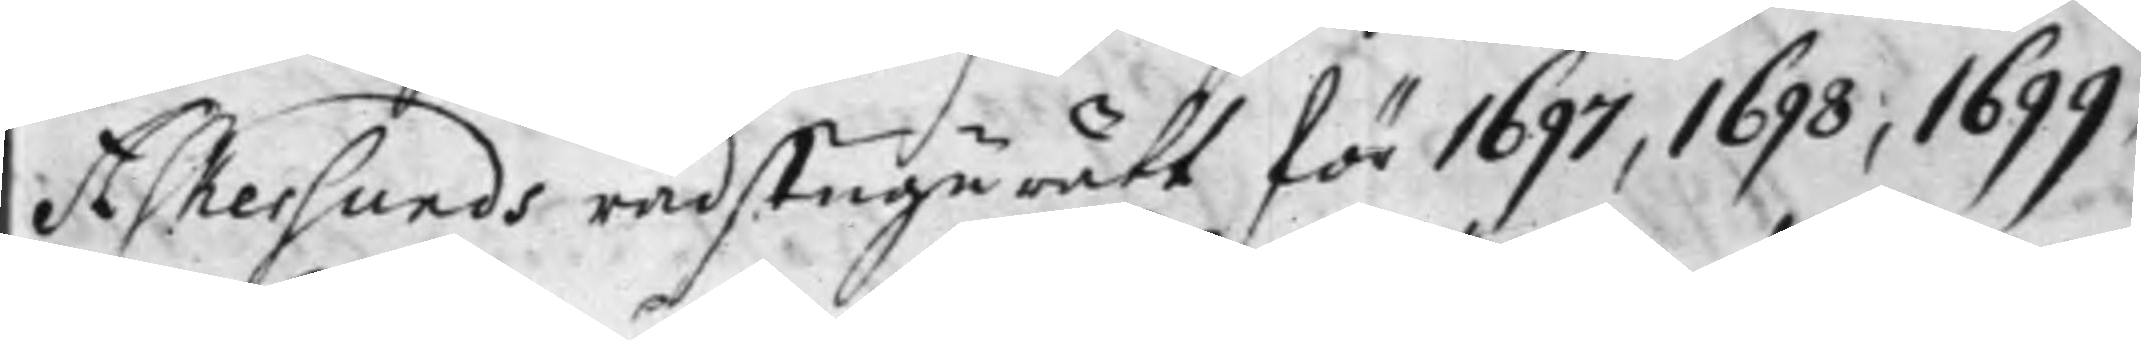Askersunds rådstugurätt för 1697, 1698, 1699,
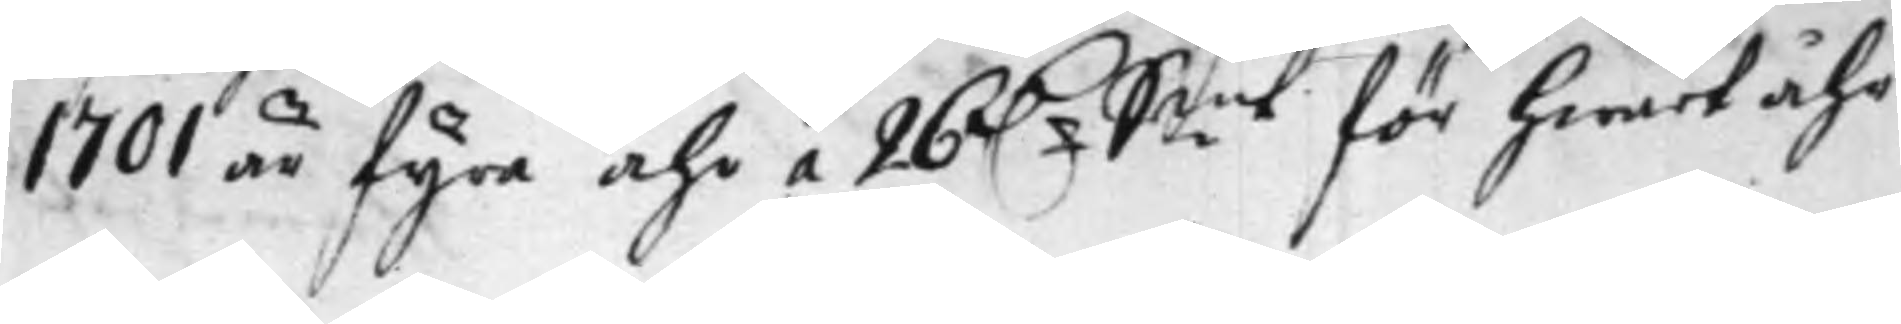1701 är fyra Åhr a 26 D.r S:mt för hwart Åhr
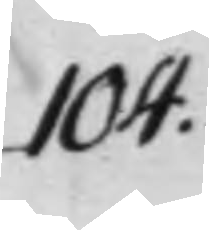104.
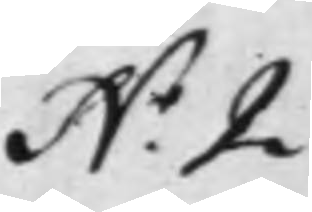N.o 2
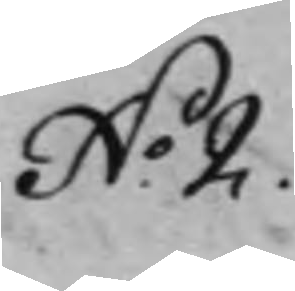N:o 2.
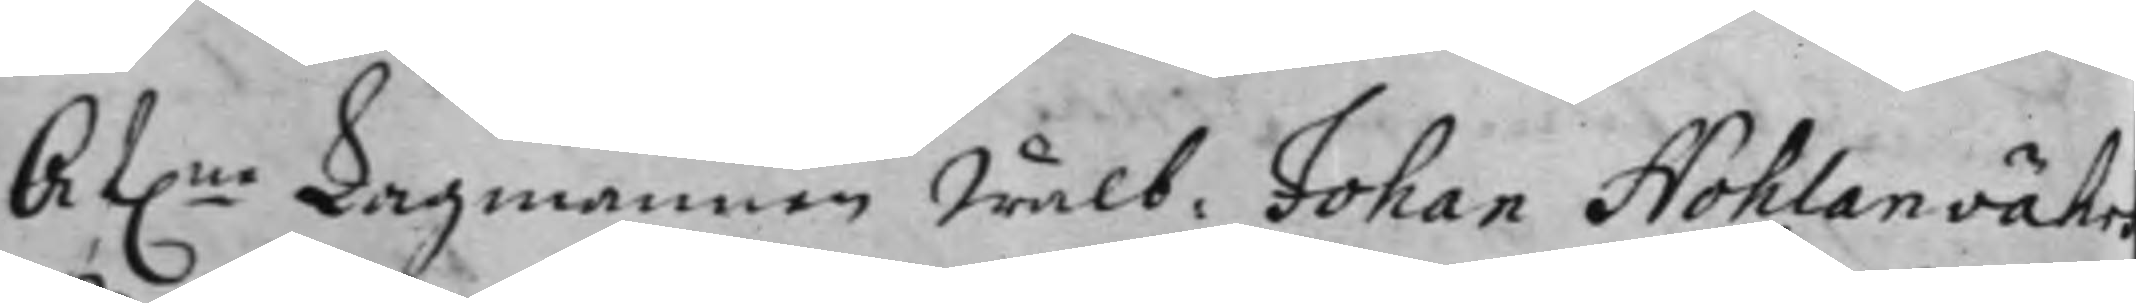Af:ne Lagmannen Wälb: Johan Nohlanvähr
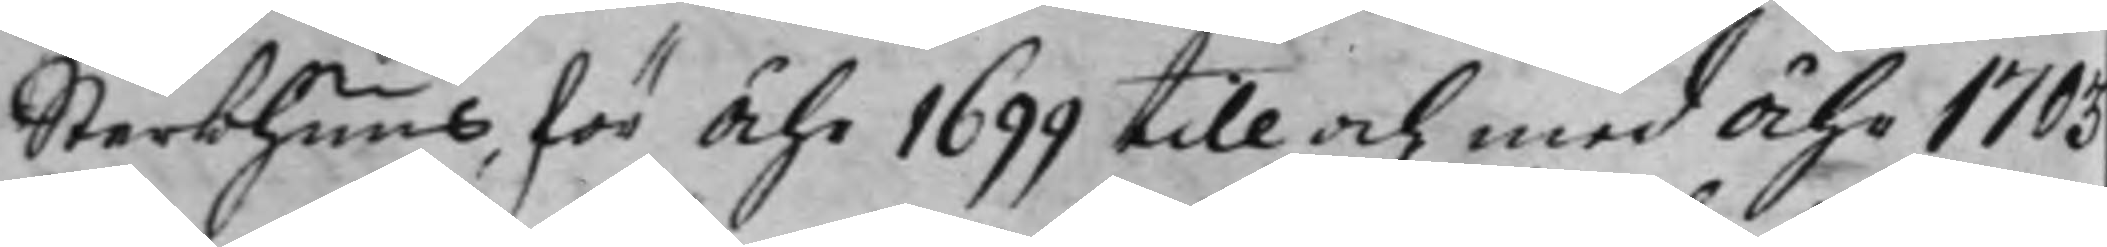Sterbhuus, för Åhr 1699 till och med Åhr 1703
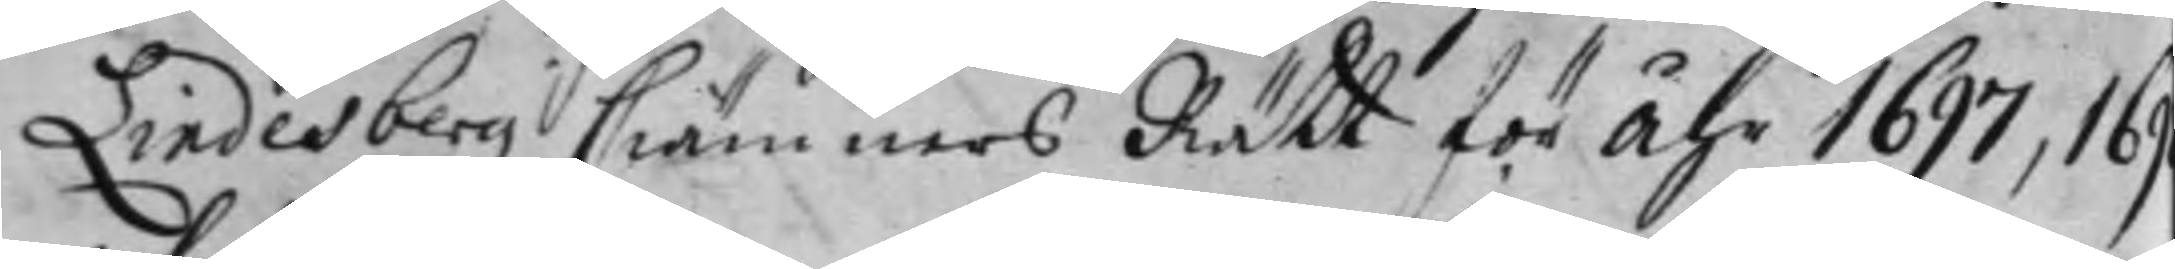Lindesbergz Ciämners Rätt för Åhr 1697, 169
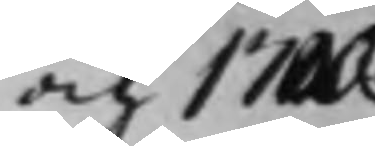och 1700.
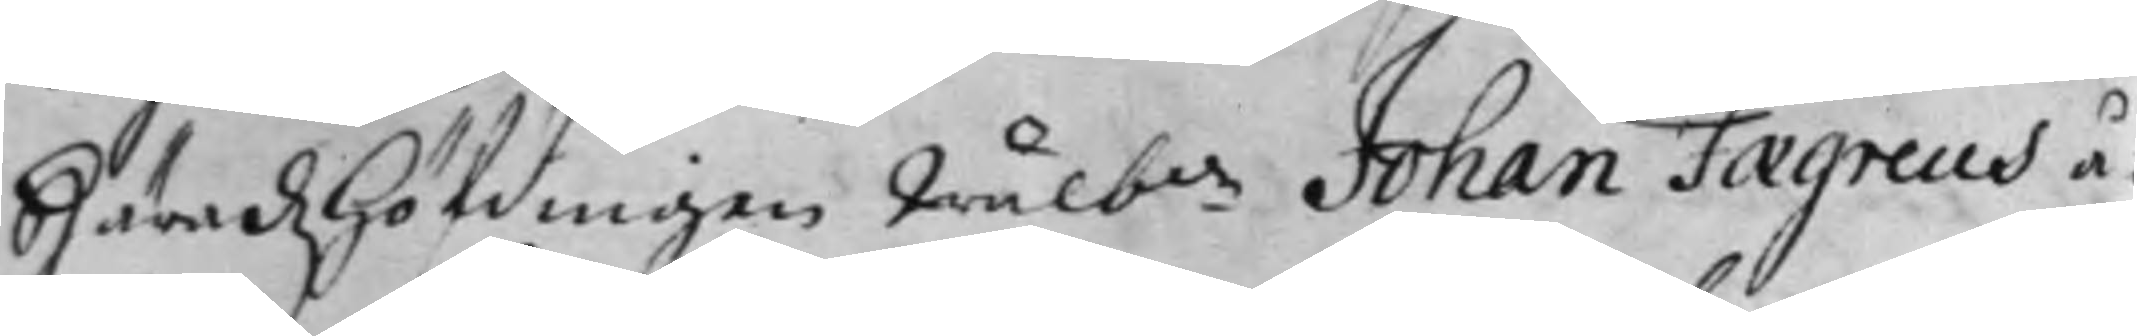Häradz höfdingen Wälb:de Johan Faegreus å¬
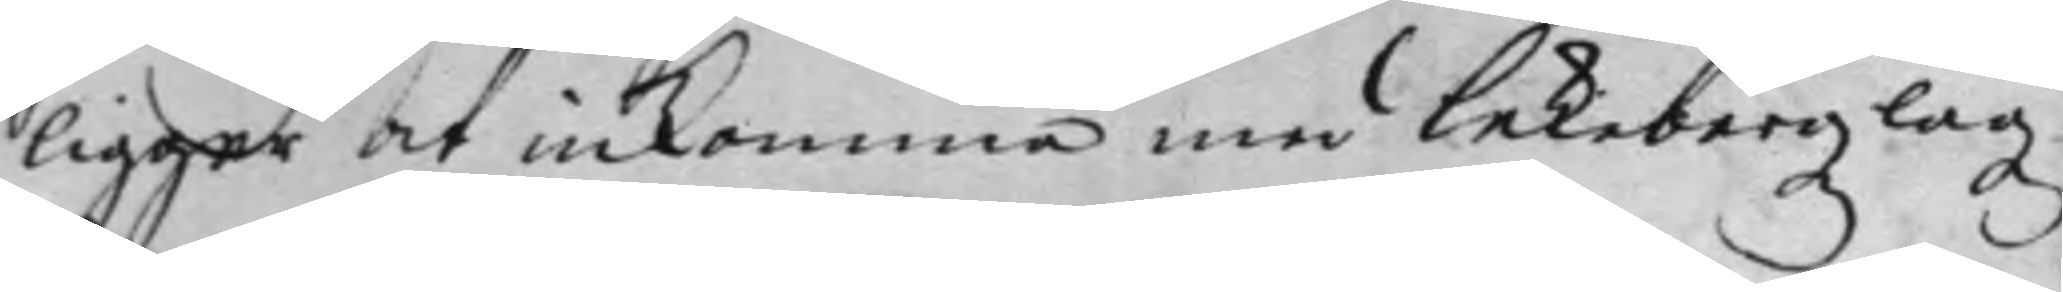ligger at inkomma med Lekebergz lagz
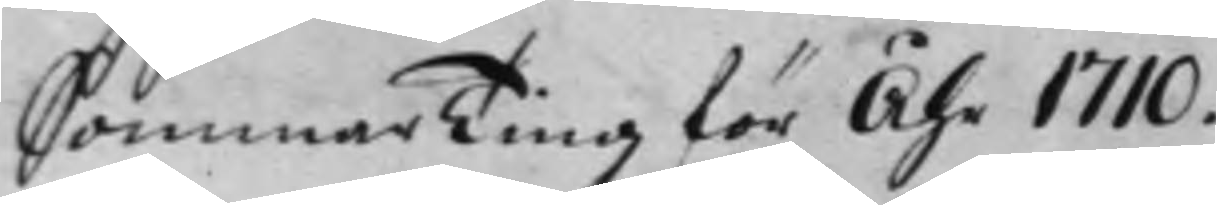Sommar Ting för Åhr 1710.
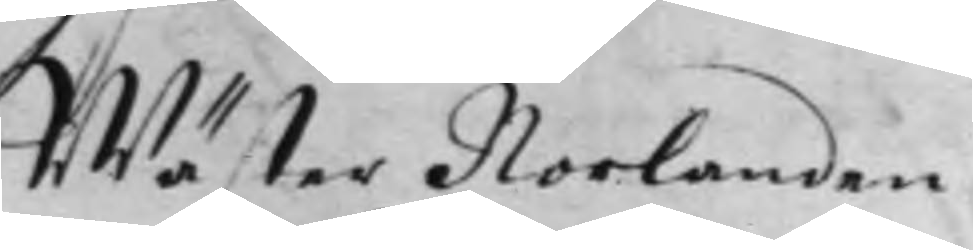Wäster Norlanden.
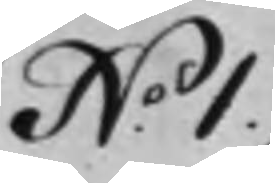N:o 1.
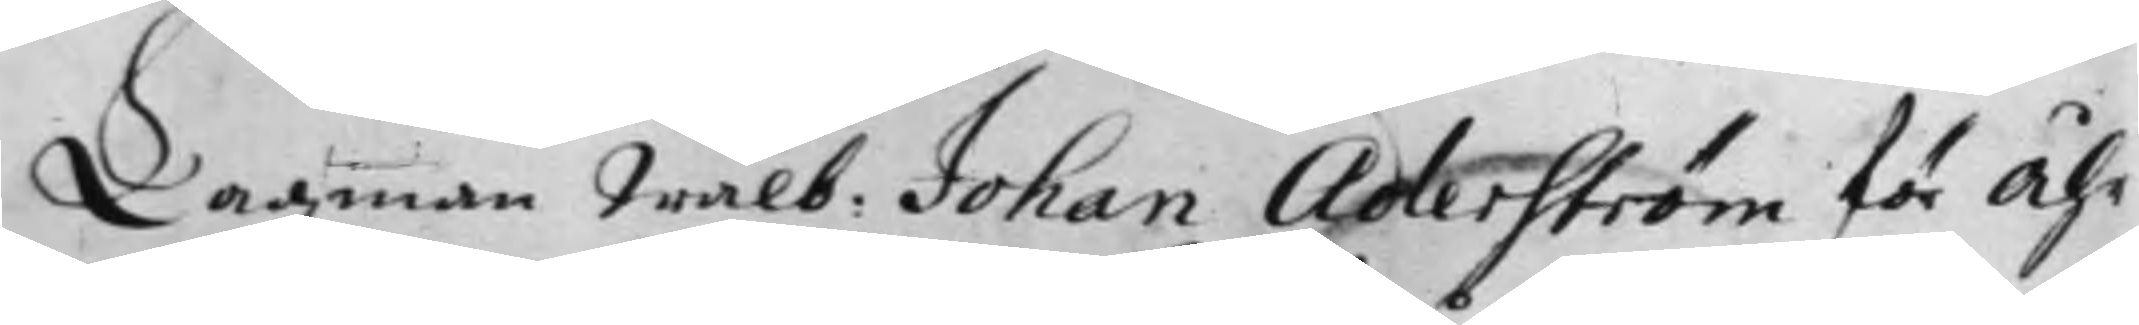Lagman Wälb: Johan Aderström för Åhr
